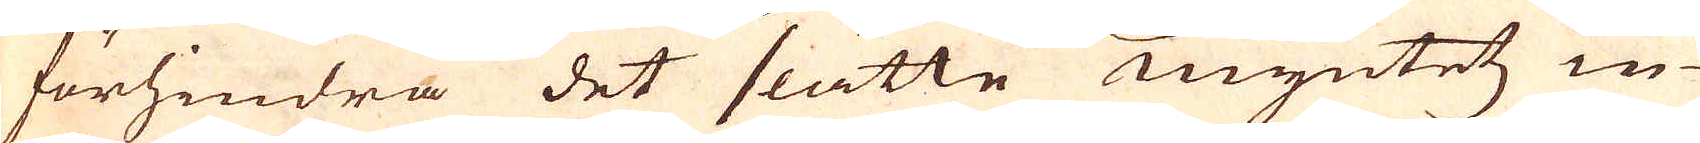förhindra det slätte myntetz in-
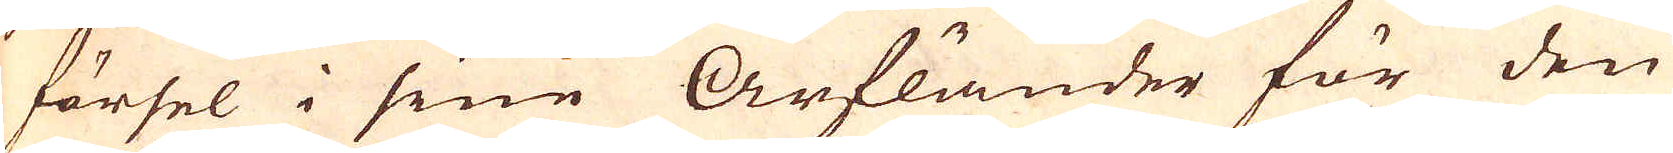försel i sine arfländer för den
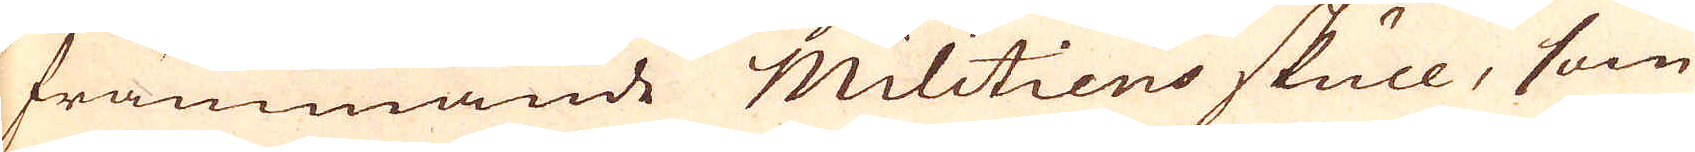främmande Militiens skull, som
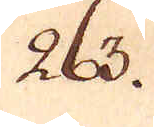263.
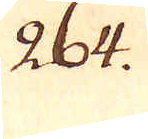264.
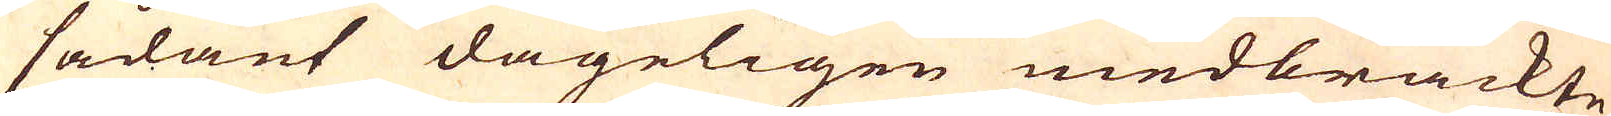sådant dageligen medbrackte
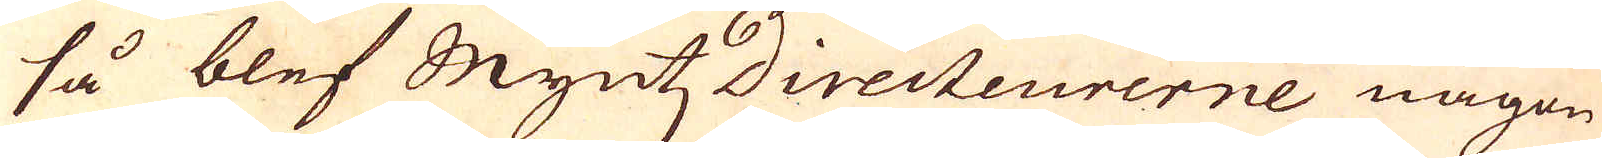så blef MyntzDirecteurerne någon
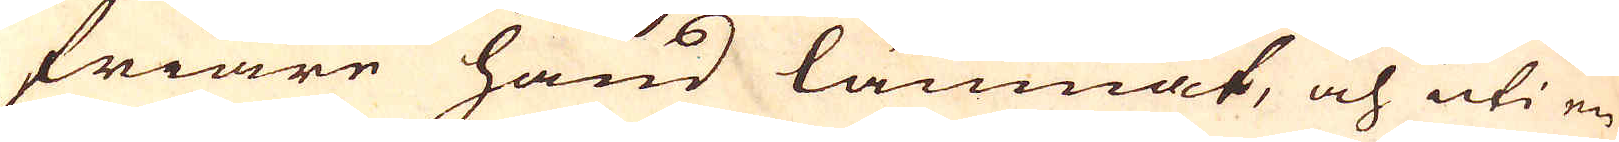friare hand lämnat, och uti en
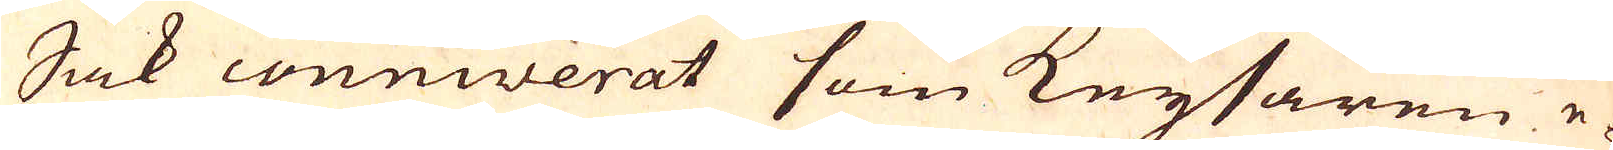Sak conniverat som Keysaren e-
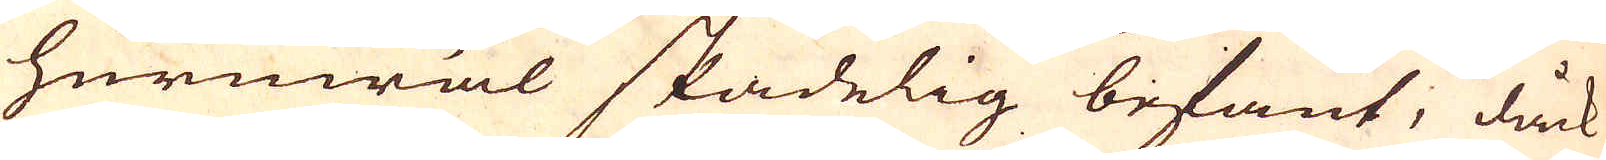huruwäl skadelig befant, dåck
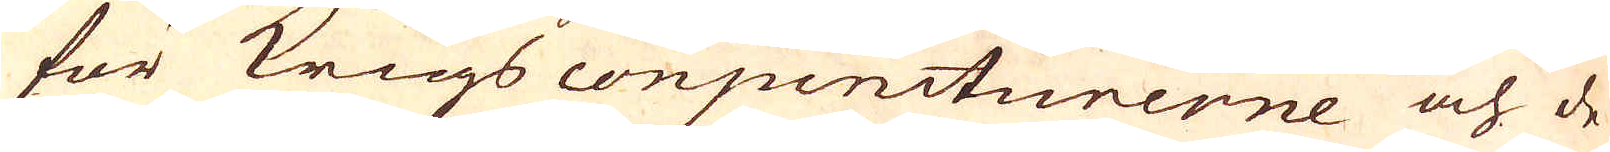för Krigs conjuncturerne och de
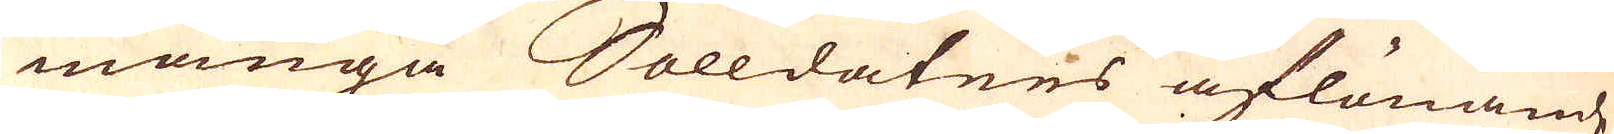många Solldatnes aflönande
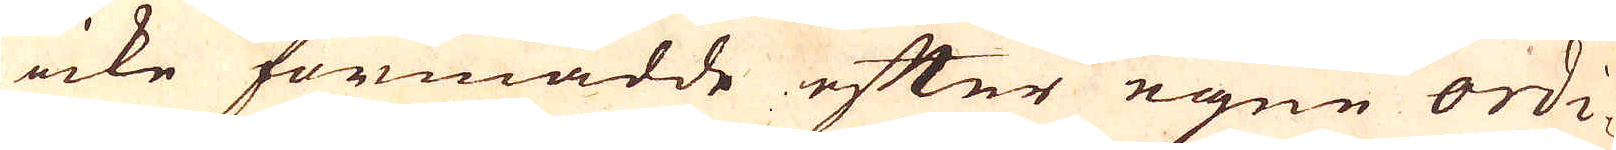icke förmådde efter egne ordi-
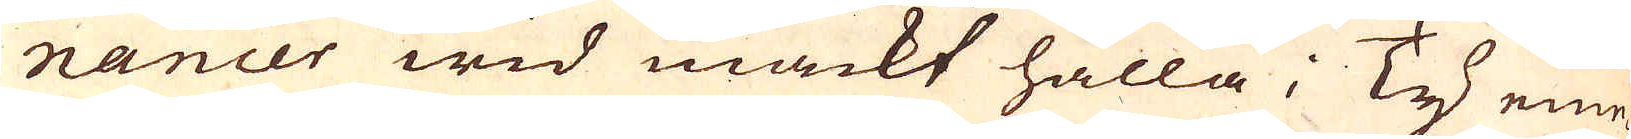nancer wid mackt hålla; Ty eme-
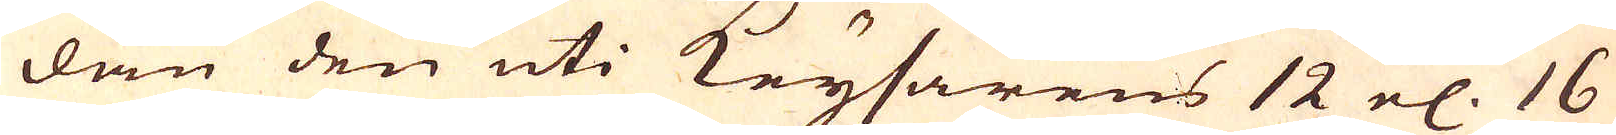dan den uti Keysarens 12 el:. 16
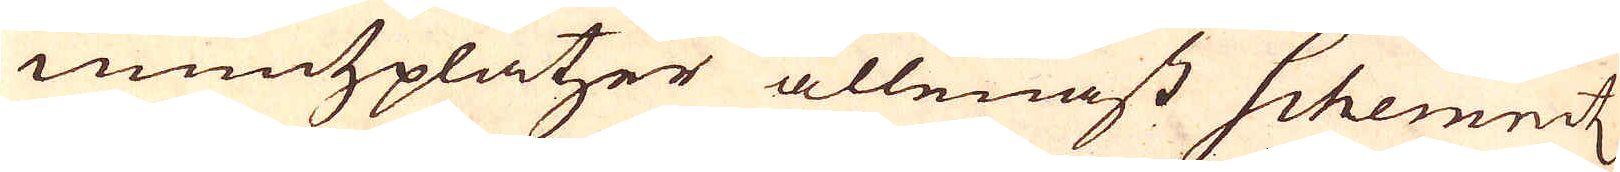müntzplatzer allenast Schemeitz
